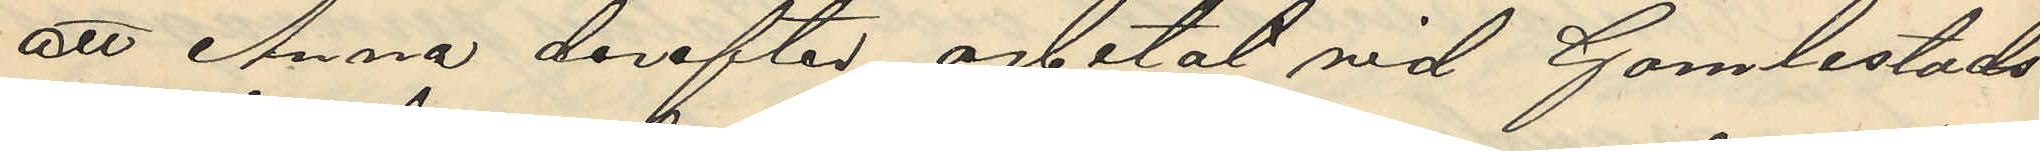att Anna derefter arbetat vid Gamlestads
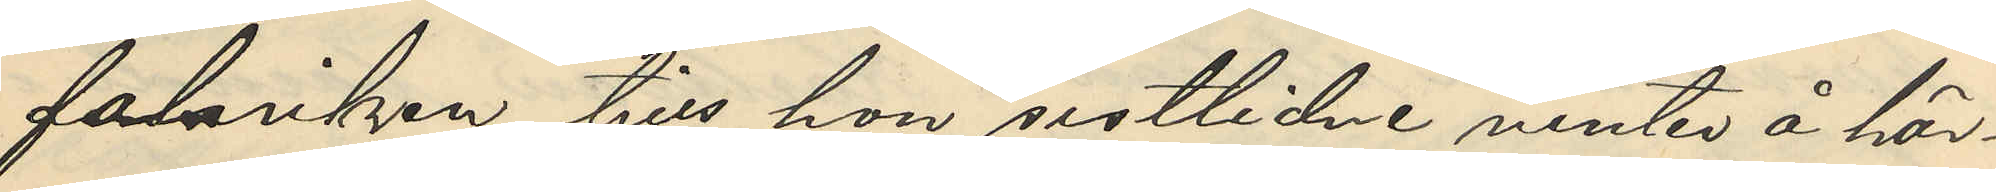fabriken tills hon sistlidne vinten å här¬
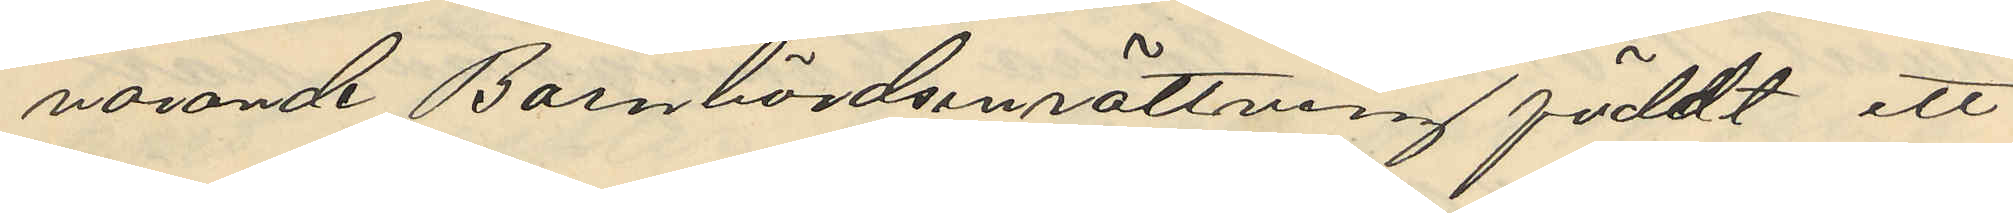varande Barnbördsinrättning föddt ett
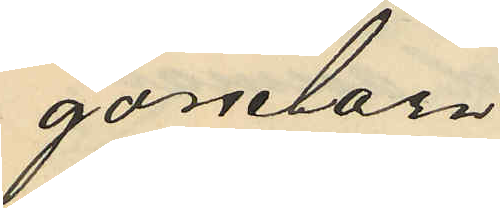gossebarn.
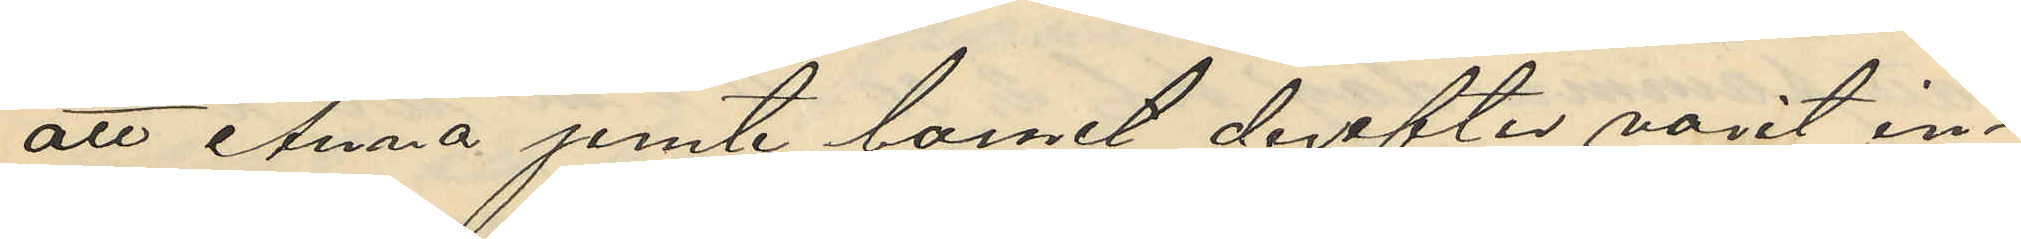att Anna jemte barnet derefter varit in¬
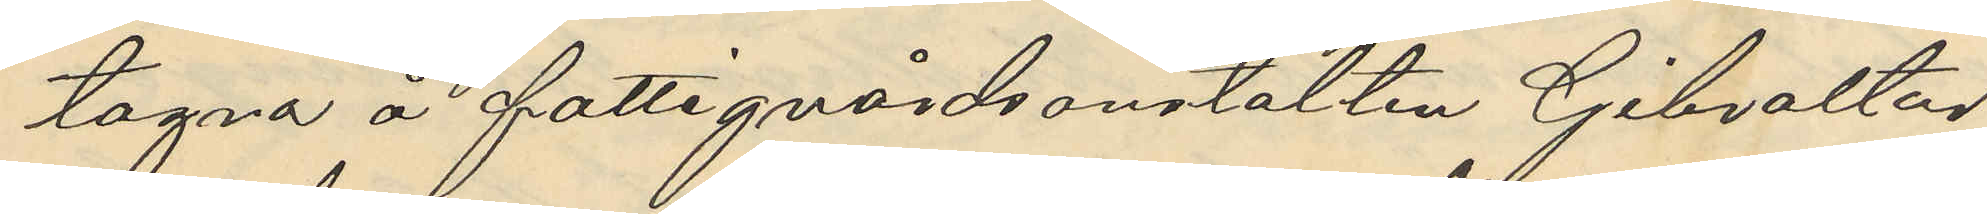tagna å fattigvårdsanstalten Gibraltar
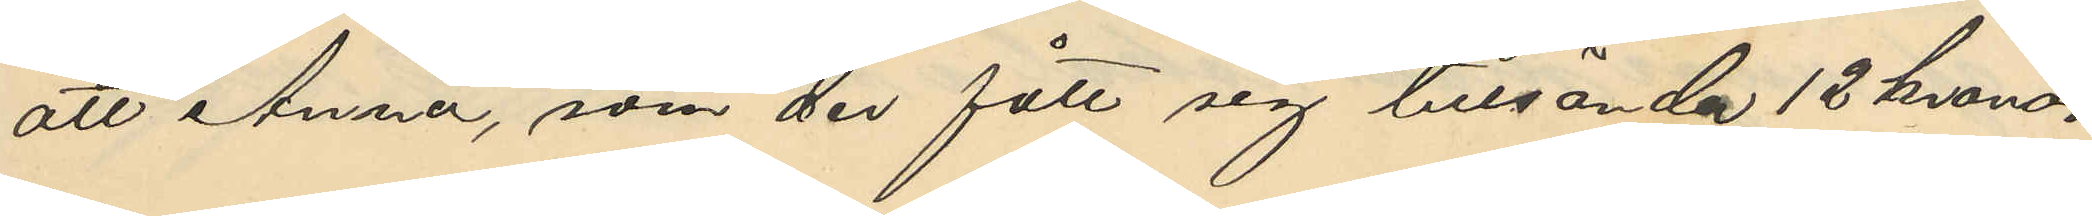att Anna, som der fått sig tillsända 12 kronor
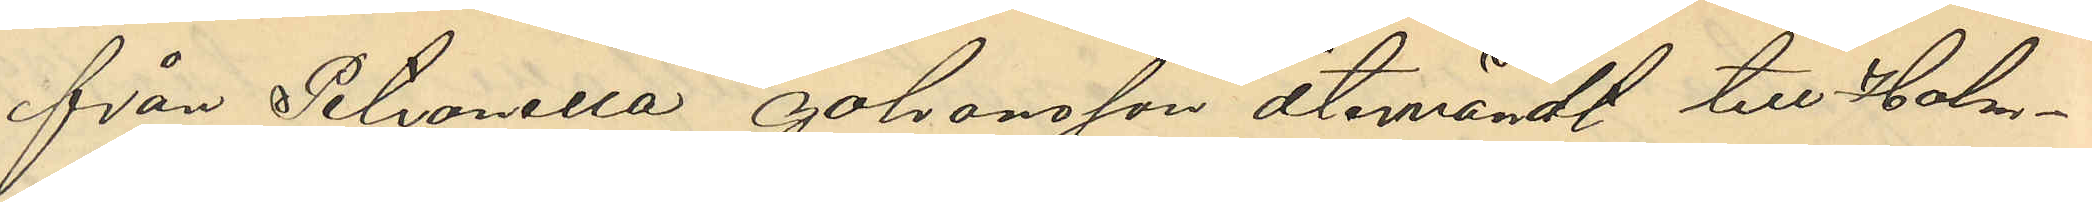från Petronella Johansson återvändt till Halm¬
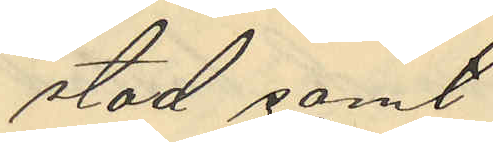stad samt
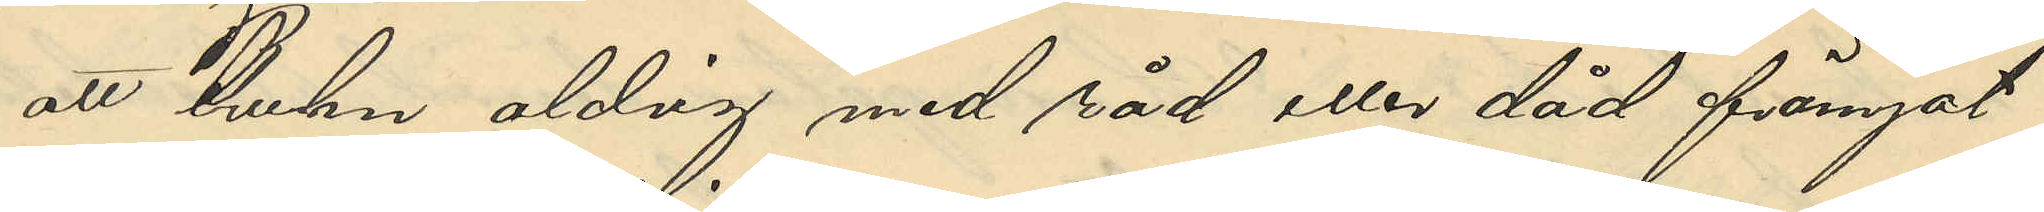att Bruhn aldrig med råd eller dåd främjat
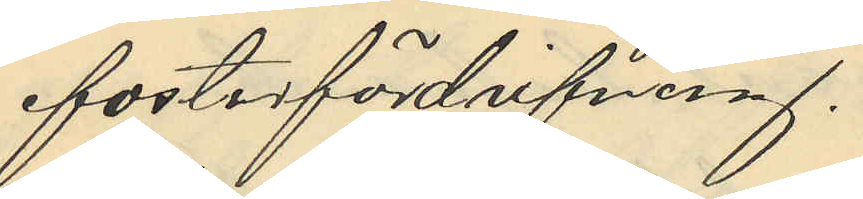fosterfördrivning,
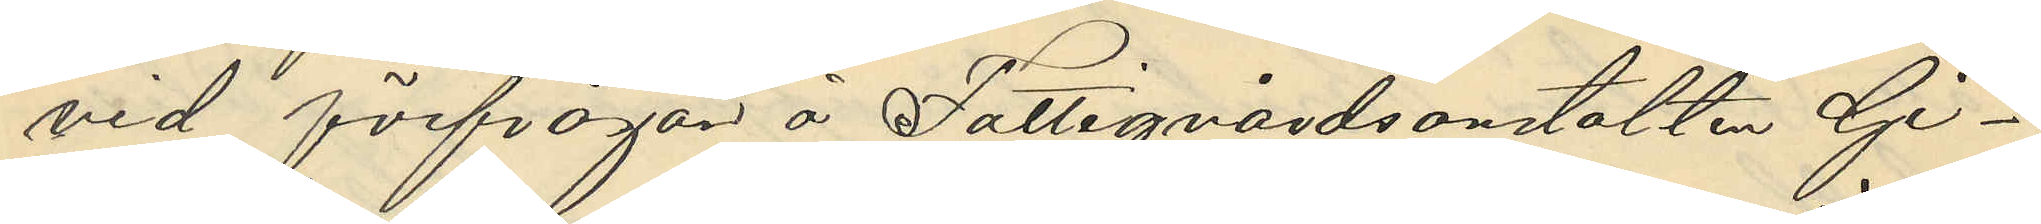vid förfrågan å Fattigvårdsanstalten Gi¬
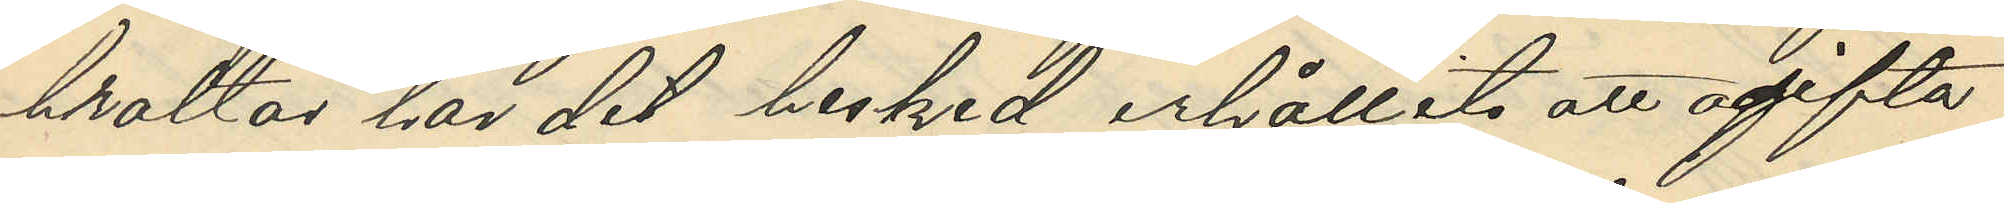braltar har det besked erhållits att ogifta
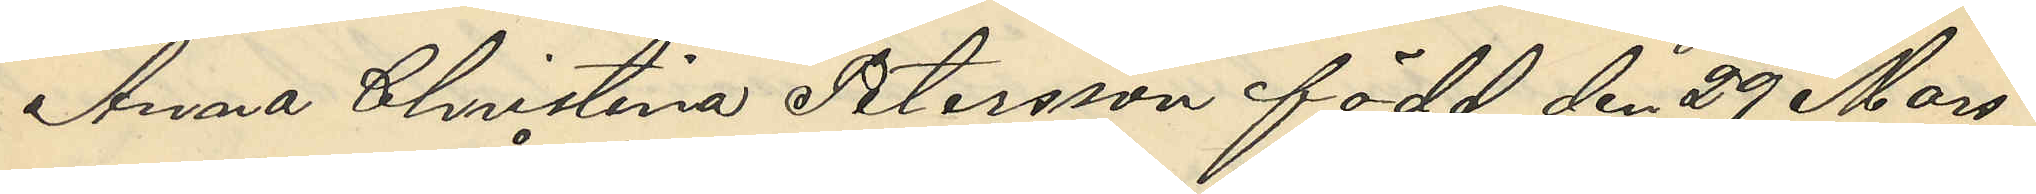Anna Christina Petersson född den 29 Mars
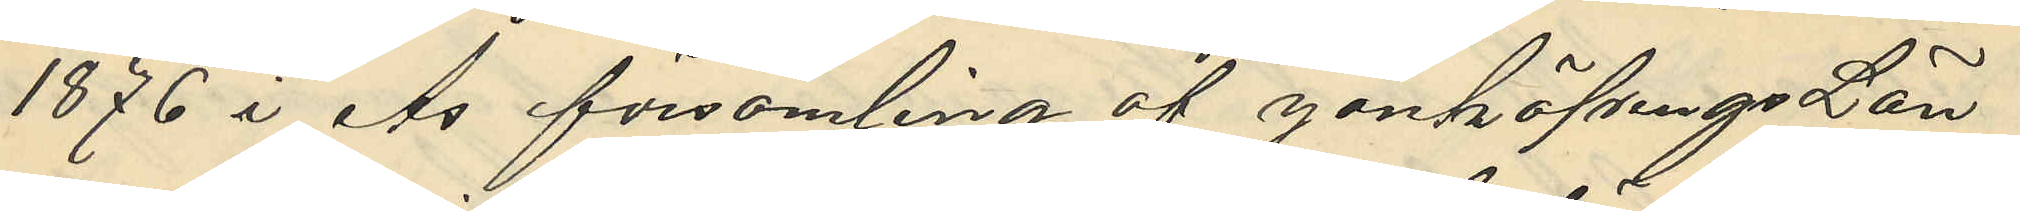1876 i Ås församling af Jönköpings Län
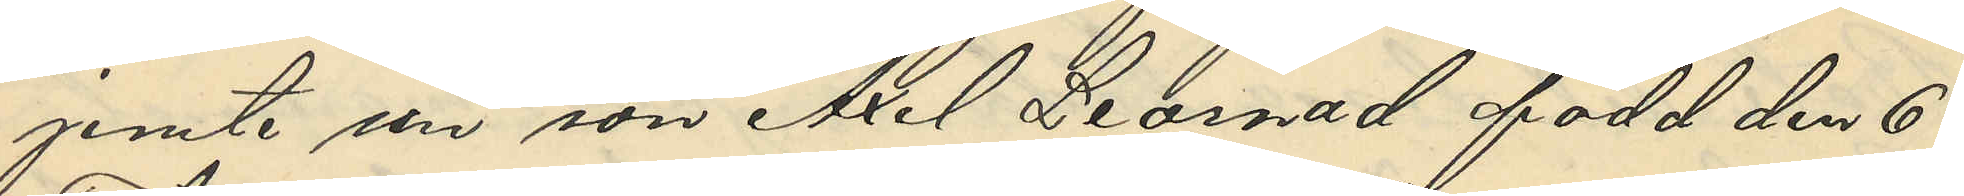jemte sin son Axel Leornad född den 6
